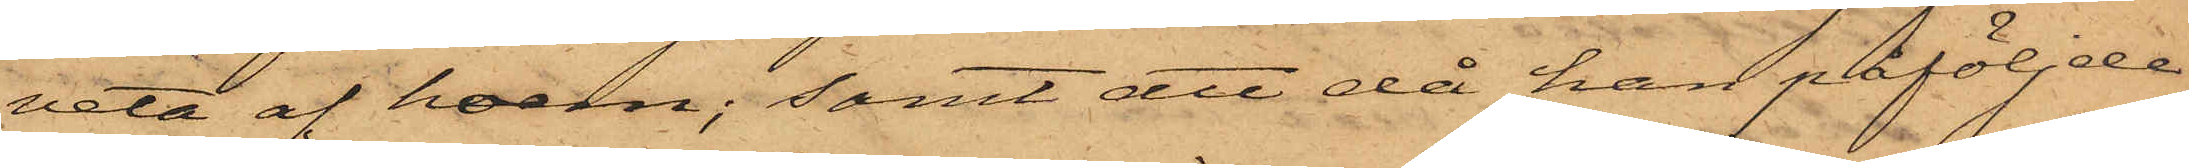veta af hvem; samt att då han påföljde
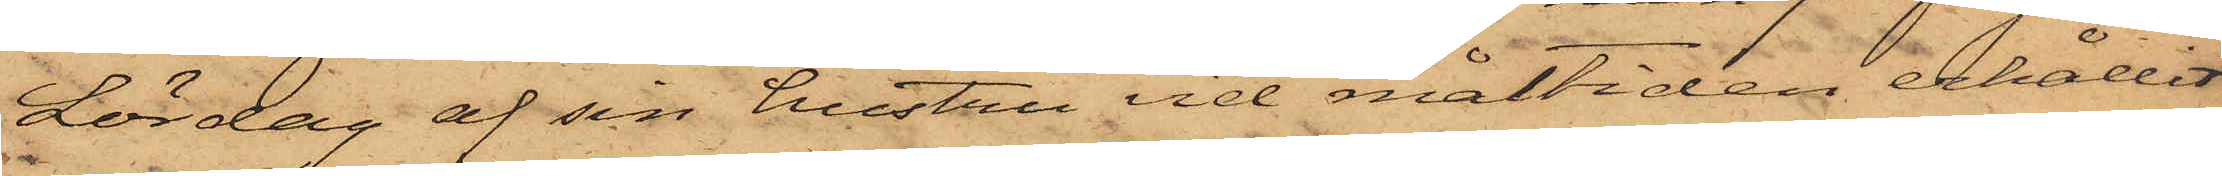Lördag af sin hustru vid måltiden erhållit
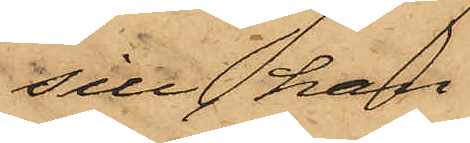sill, han
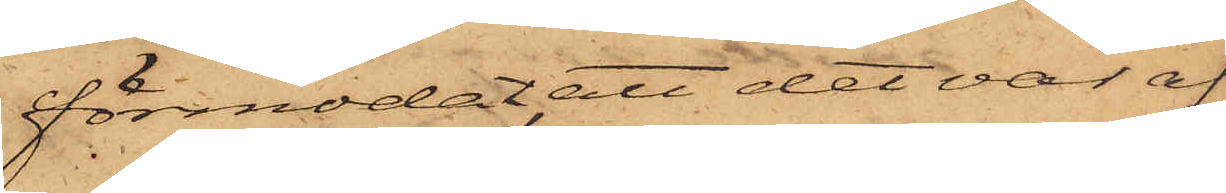förmodat, att det var af
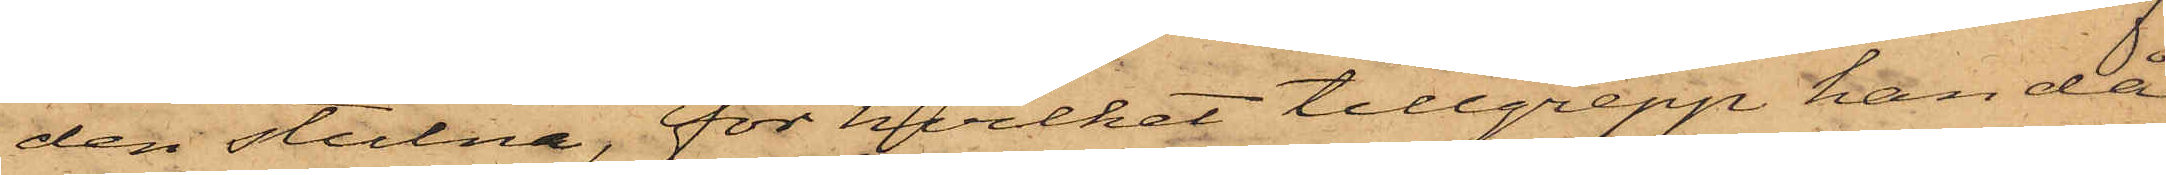den stulna, för hvilket tillgrepp han då
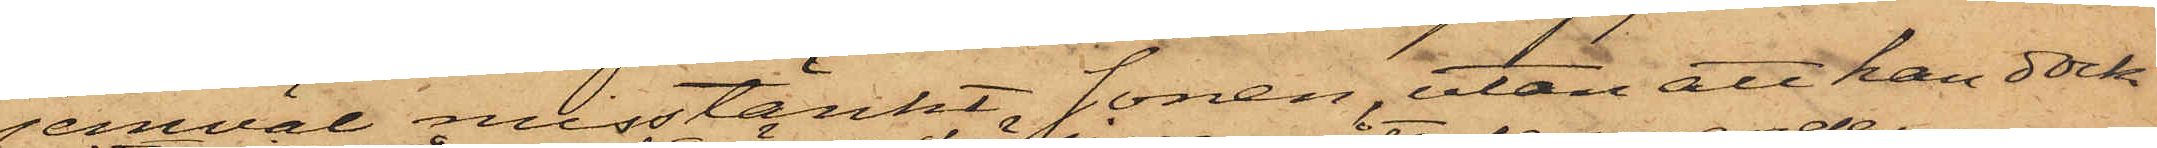jemväl misstänkt sonen, utan att han dock
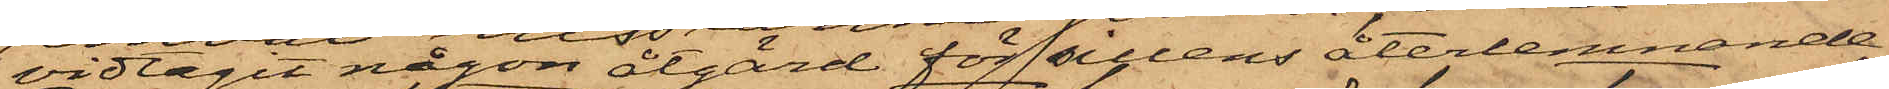vidtagit någon åtgärd för sillens återlemnande.
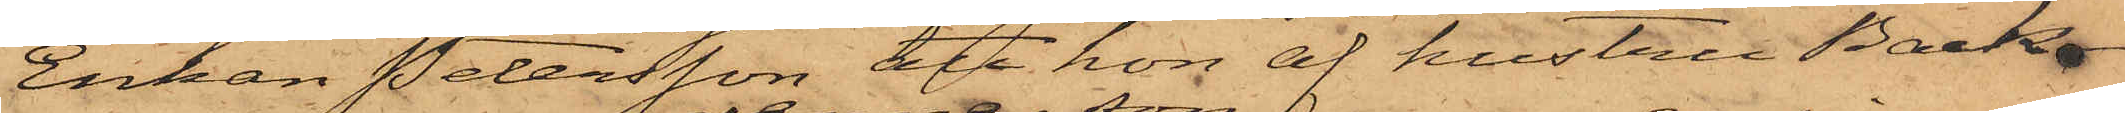Enkan Petersson att hon af hustru Back¬
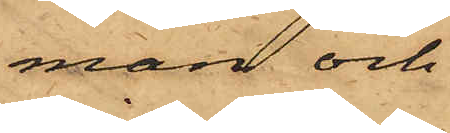man och
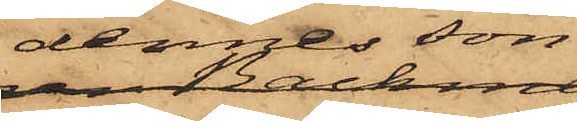dennes son
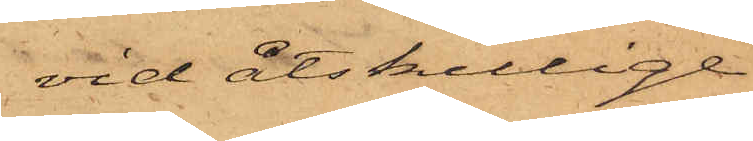vid åtskillige
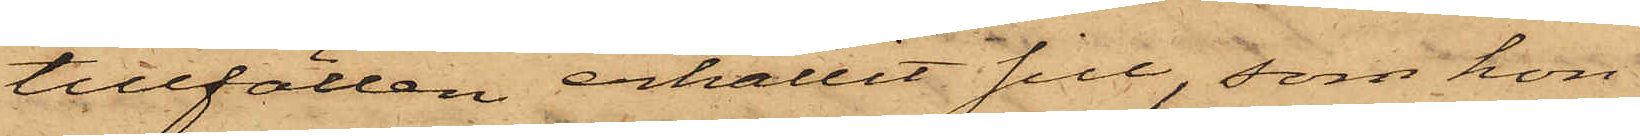tillfällen erhållit sill, som hon
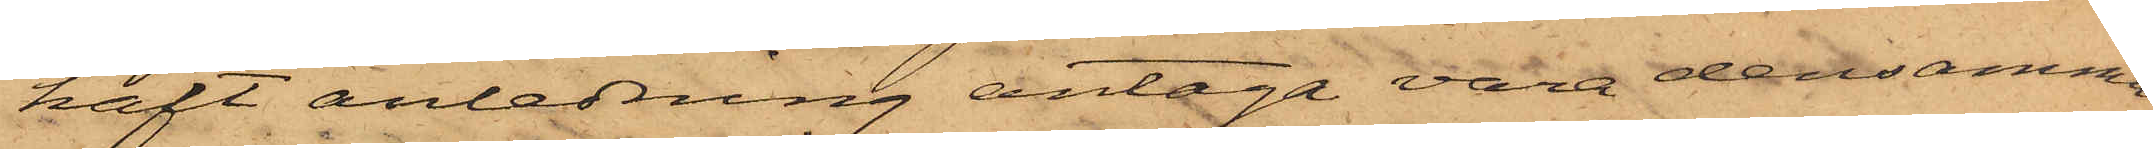haft anledning antaga vara densamma,
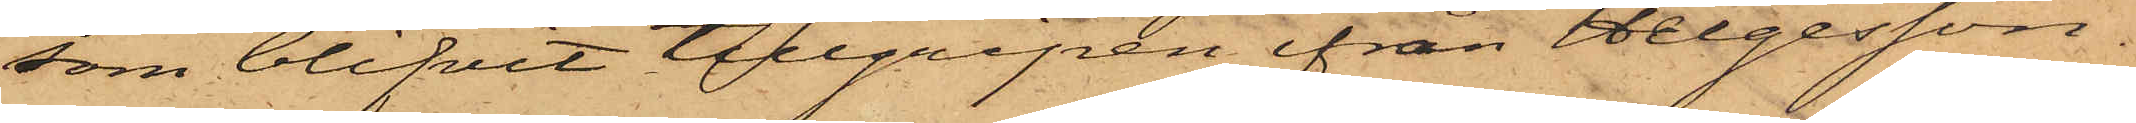som blifvit tillgripen ifrån Helgesson.
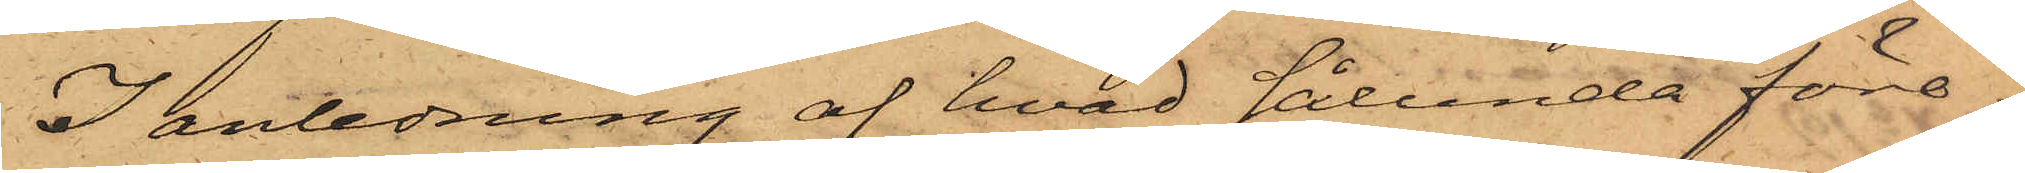I anledning af hvad sålunda före¬
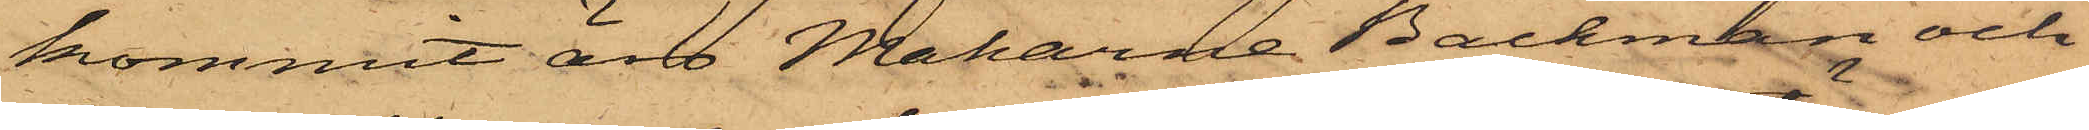kommit äro Makarna Backman och
